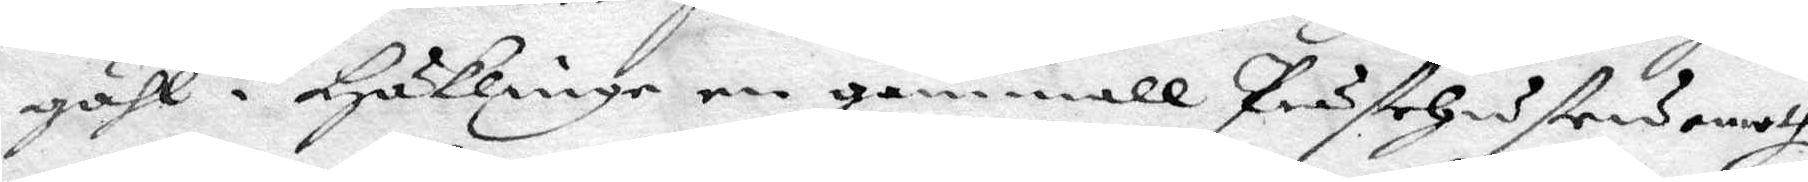gähl i Häklinge en gammall Prästehustru emoth
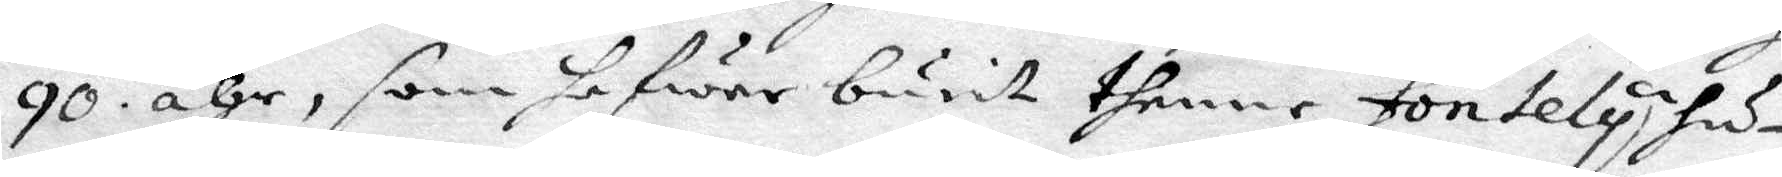90 åhr, som hafwer burit thenne Fontely hu¬
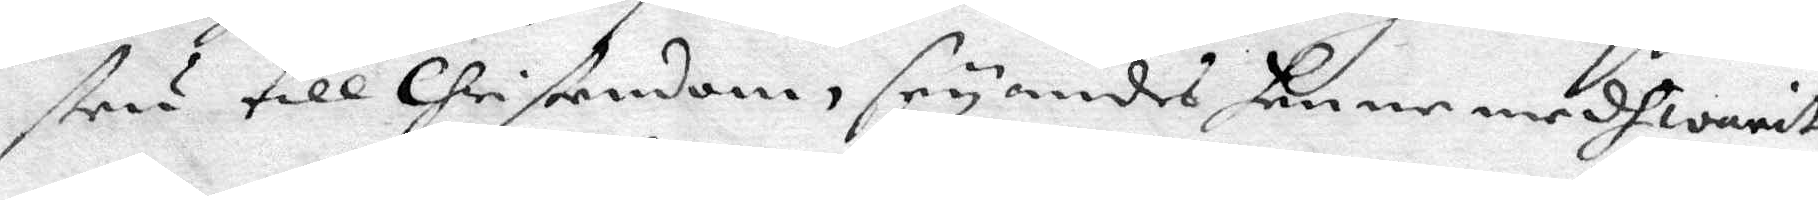stru till Christendom, säyandes henne medh warit
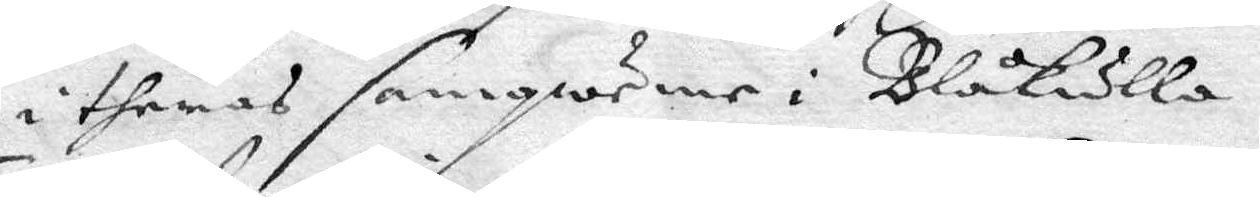i theras samqweme i Blåkulla.
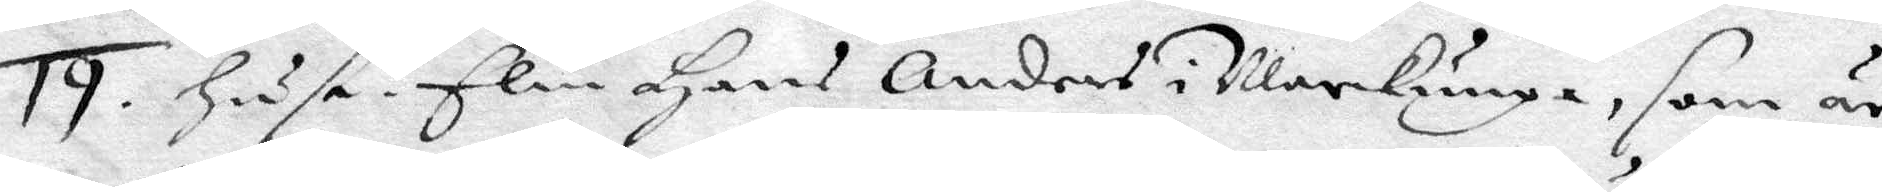19. Hus. Elin Hans Anders i Markunga, som är
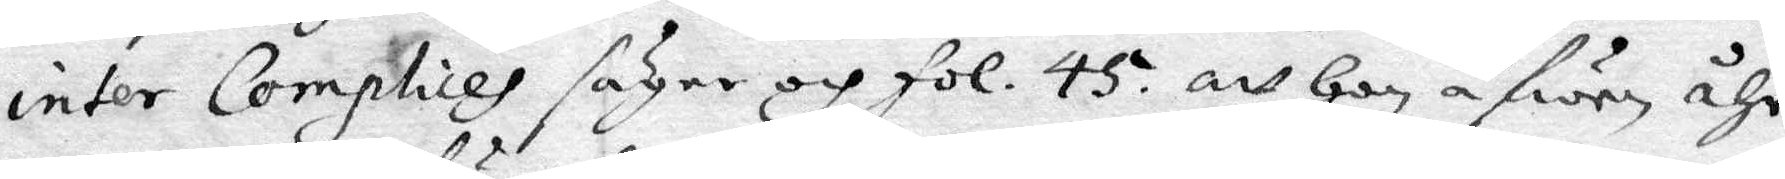inter Complices sger och fol. 45. att hon fwen åhr
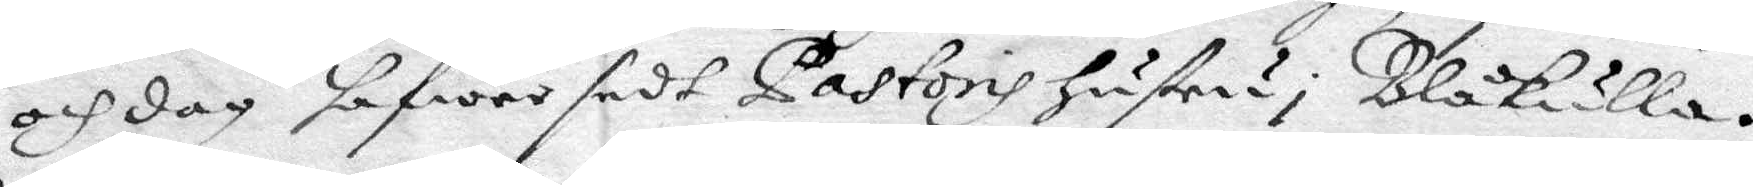och dag hafwer sedt Pastoris hustru i Blåkulla.
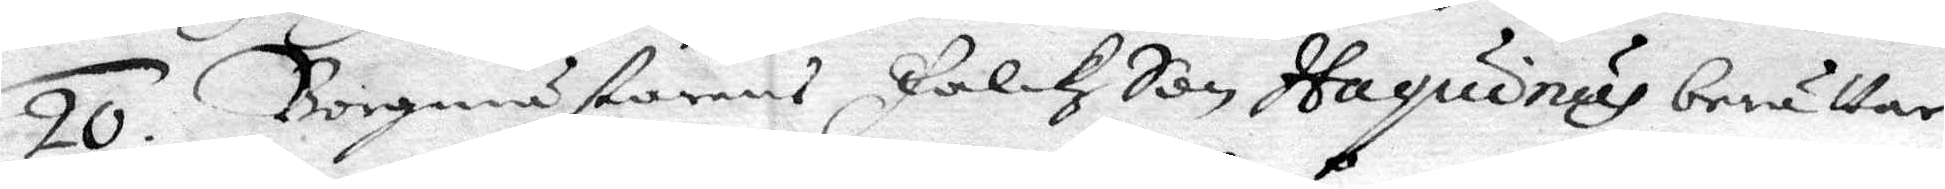20. Borgmästarnes Falckz Son Haquinus berättar
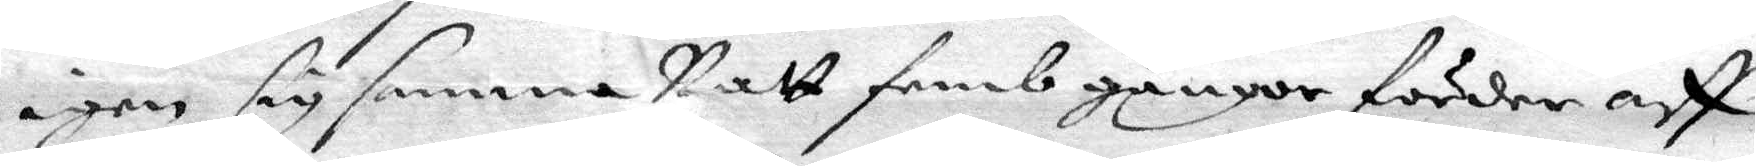igen sig samma Natt femb gånger förder aff
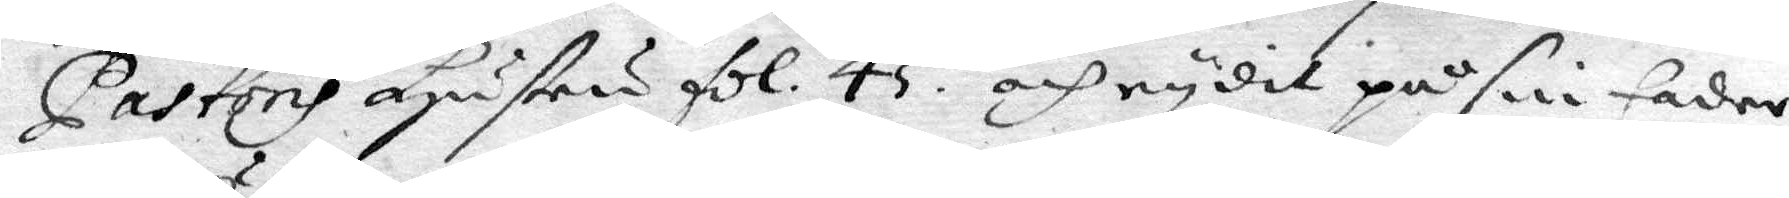Pastoris hustru fol. 45. och rydit på sin fader
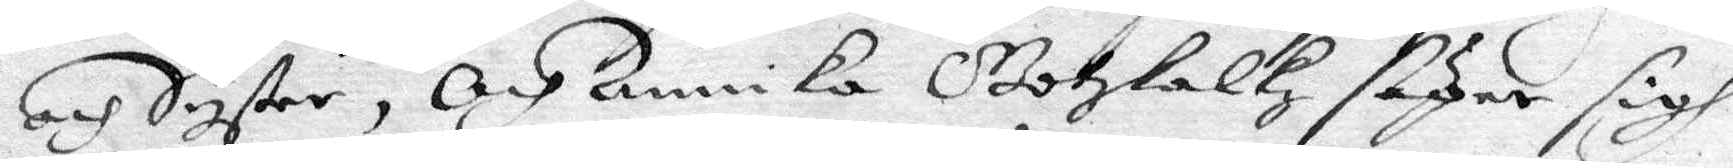och syster, och Annika Gotskalkz säger sigh
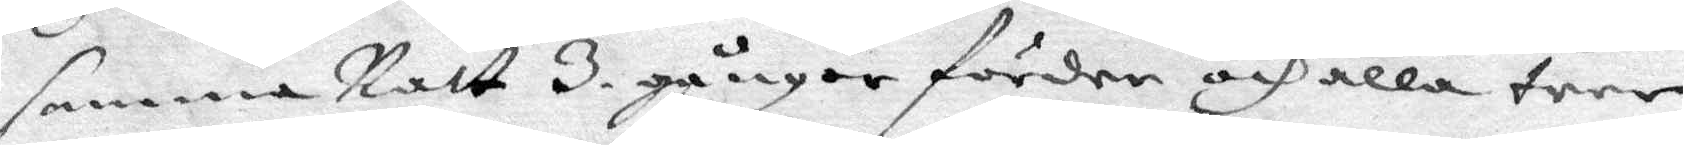samma Natt 3. gånger förder och alla tree
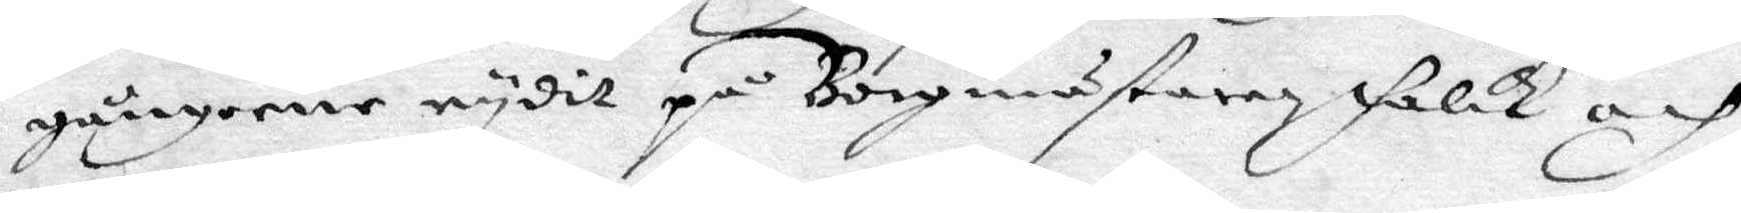gångerne rydit på Borgmästaren Falck och
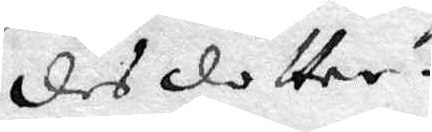des dotter.
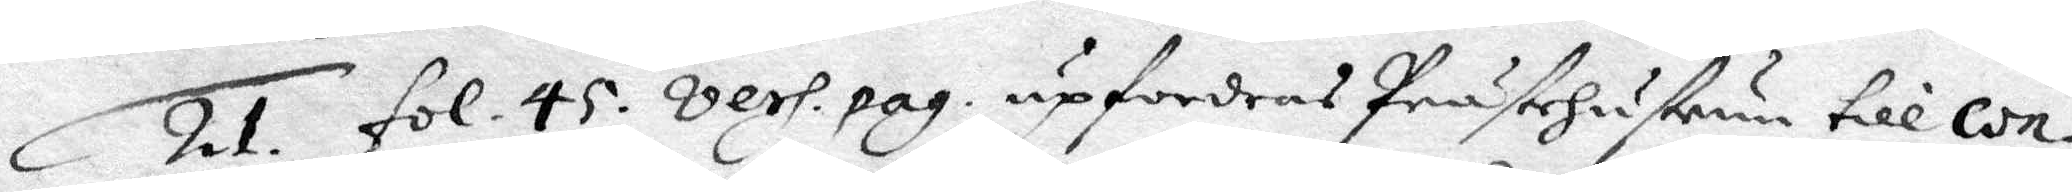21. fol. 45. vers.pag. upfordras Prästehustrun till con¬
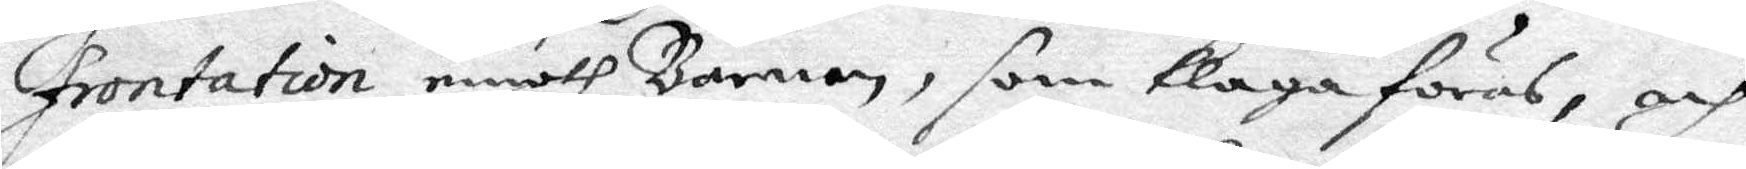frontation emoth Barnen, som klaga föras, och
